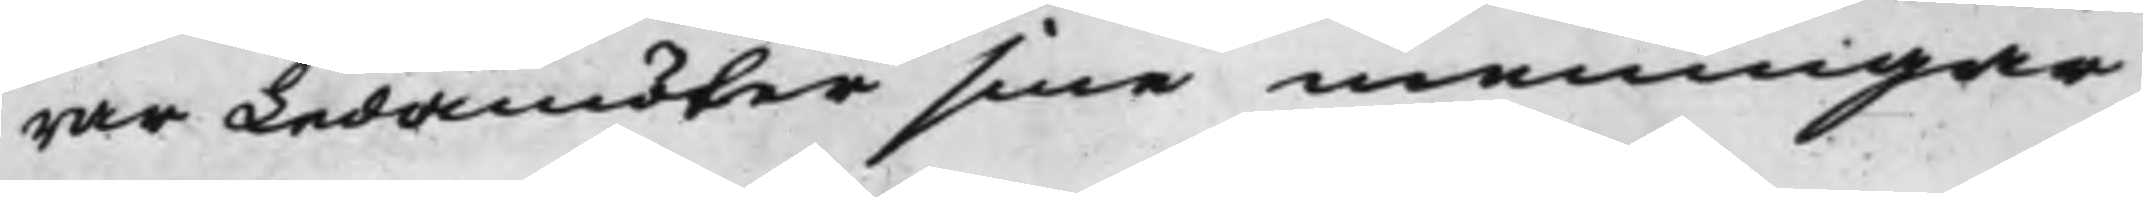rar Ledamöter sine meningar
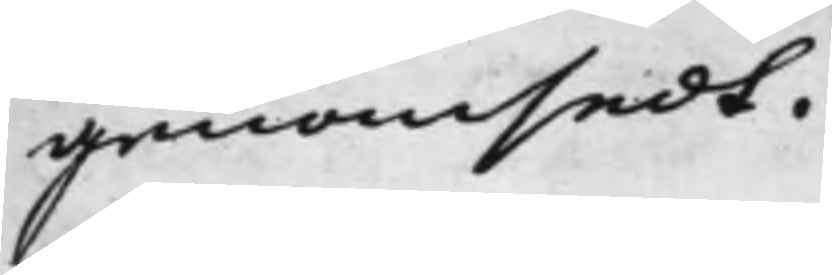genomsedt.
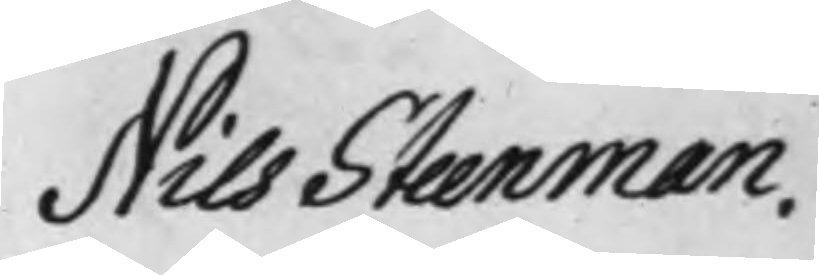Nils Steenman.
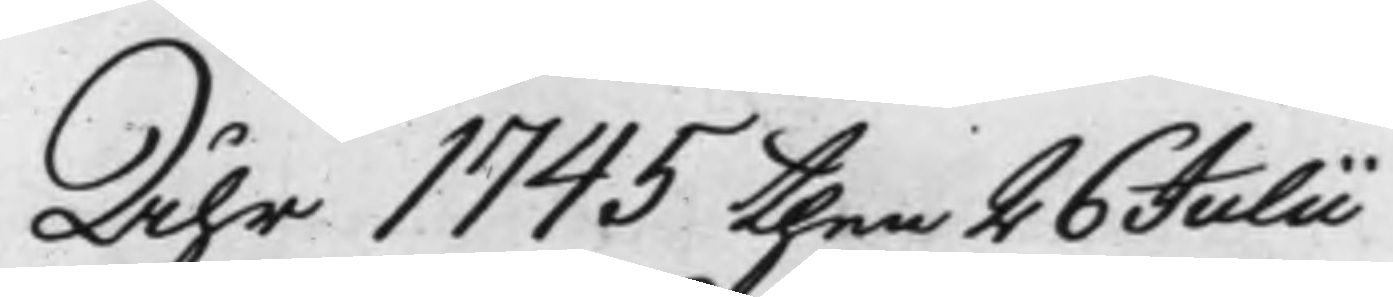Åhr 1745 then 26 Julii
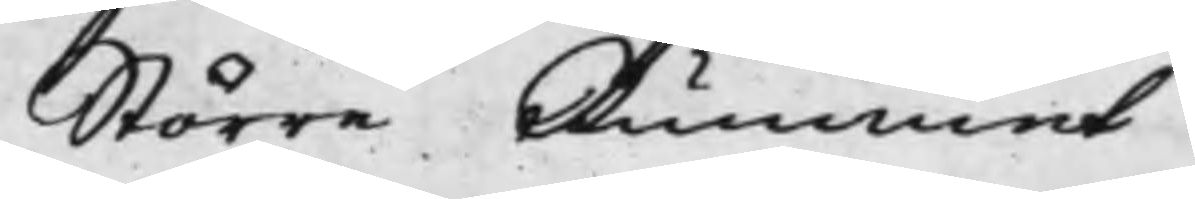Större Rummet
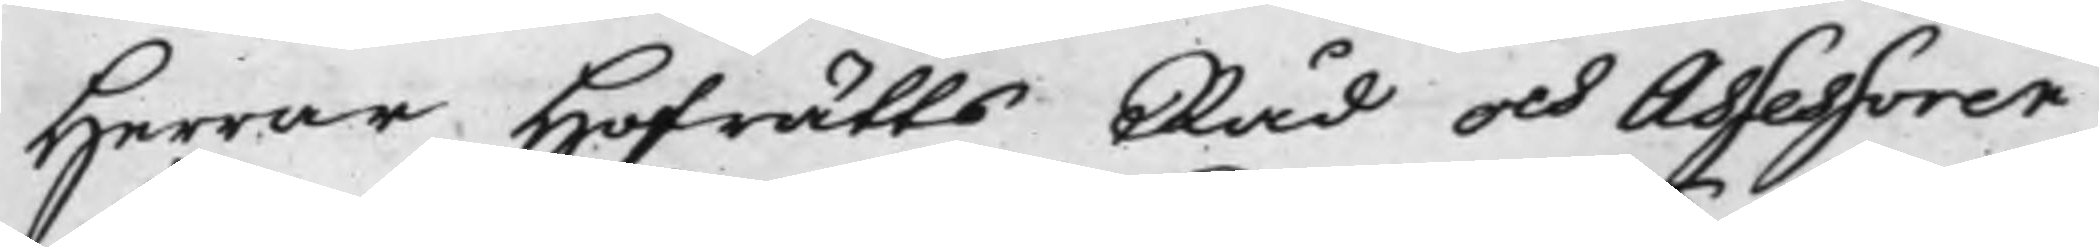Herrar Hofrätts Råd och Assessorer
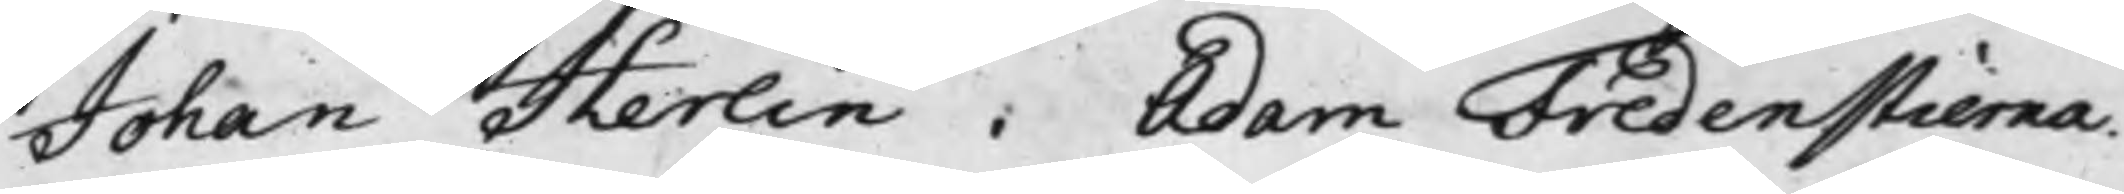Johan Herlin. Adam Fredenstierna.
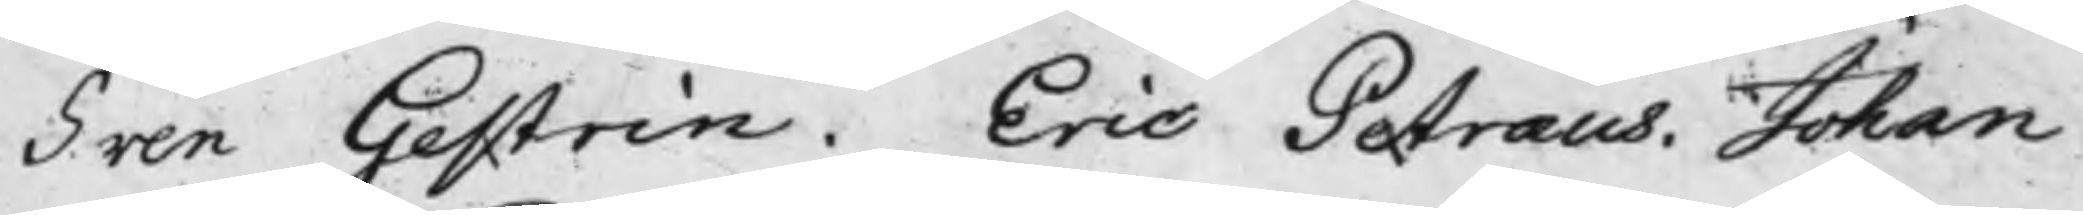Sven Gestrin. Eric Petræus. Johan
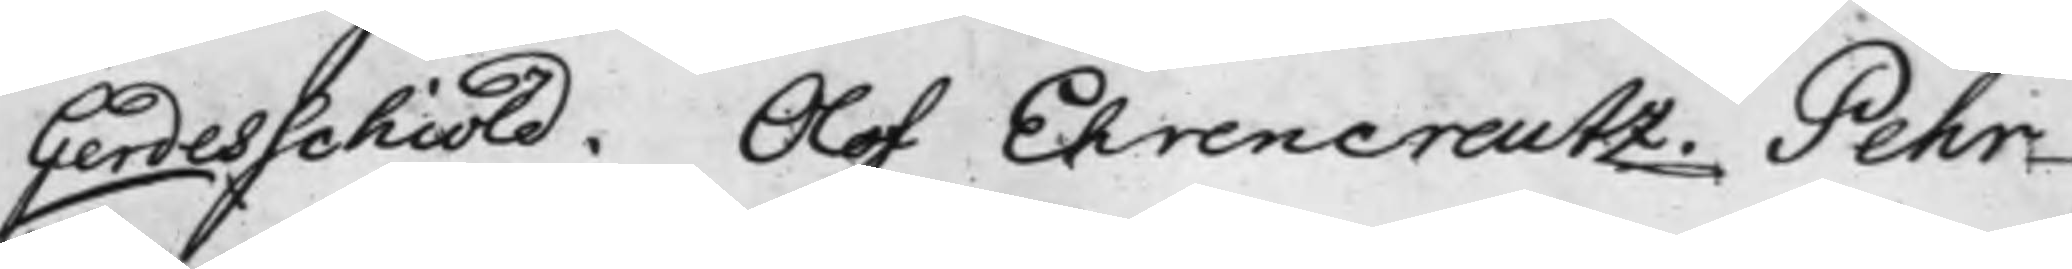Gerdesschiöld. Olof EhrenCreutz. Pehr
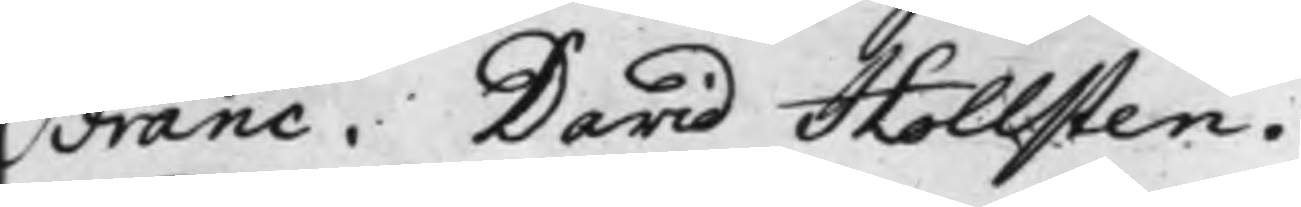Franc. David Hollsten.
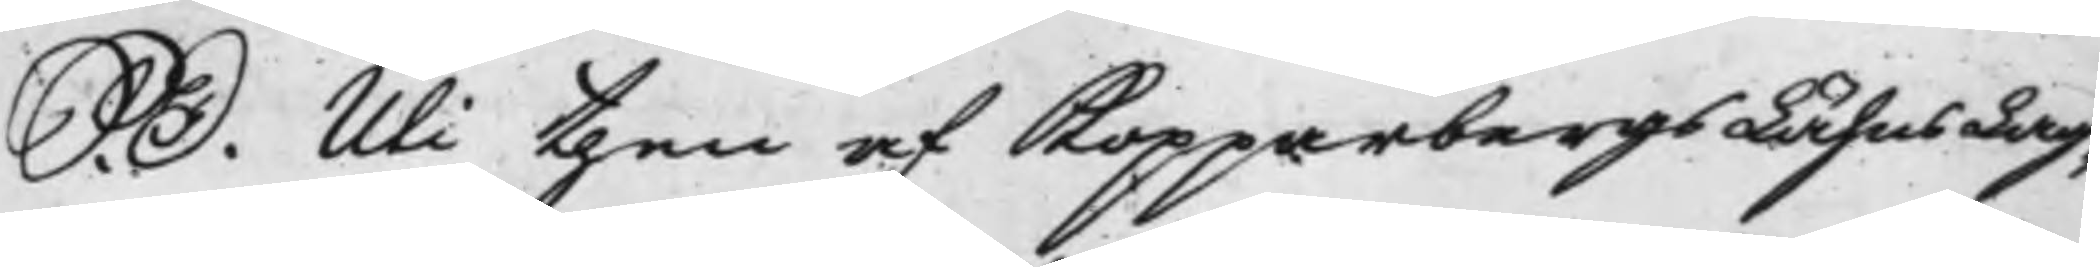S. D. Uti then af Kopparbergs Lähns Lag¬
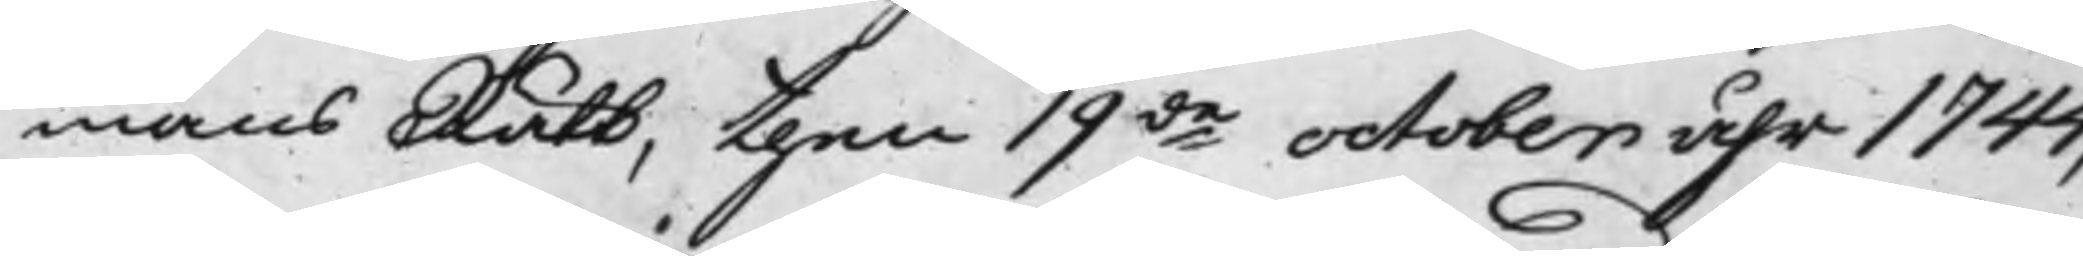mansRätt, then 19de october åhr 1744,
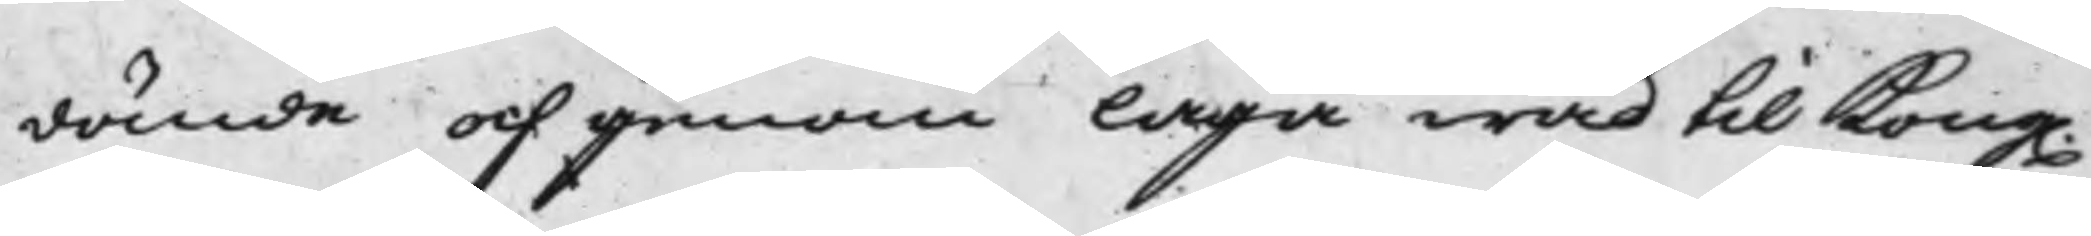dömde och genom laga wad til Kong.
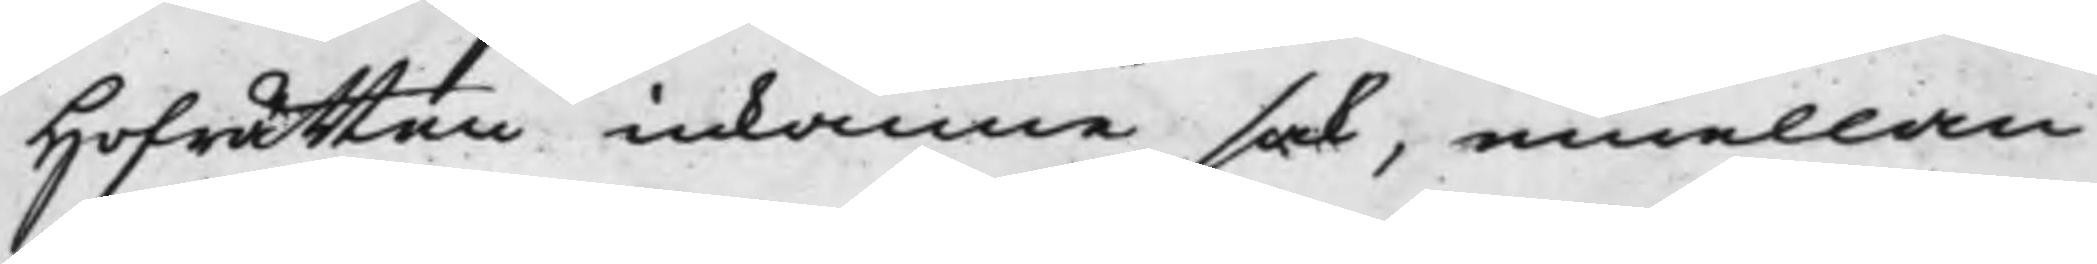Hofrätten inkomne sak, emellan
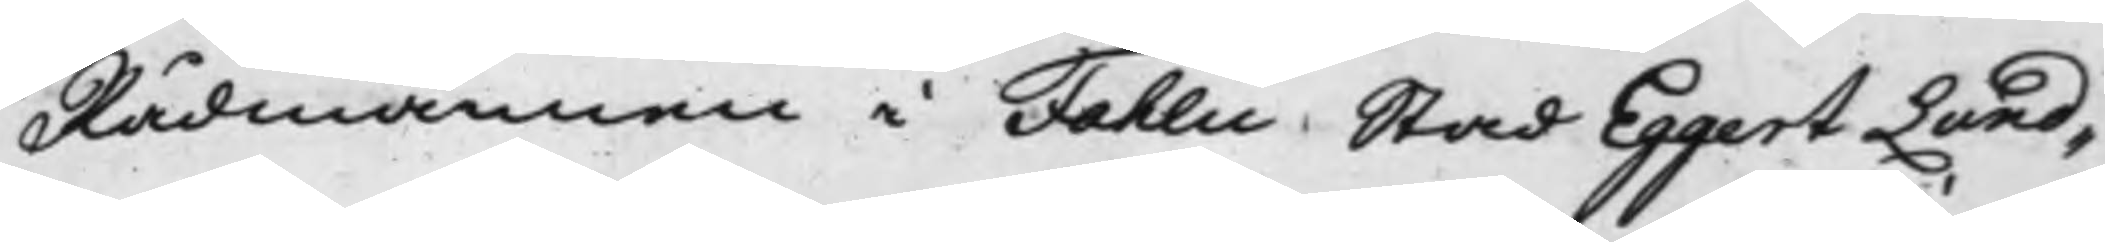Rådmannen i Fahlu Stad Eggert Lund¬
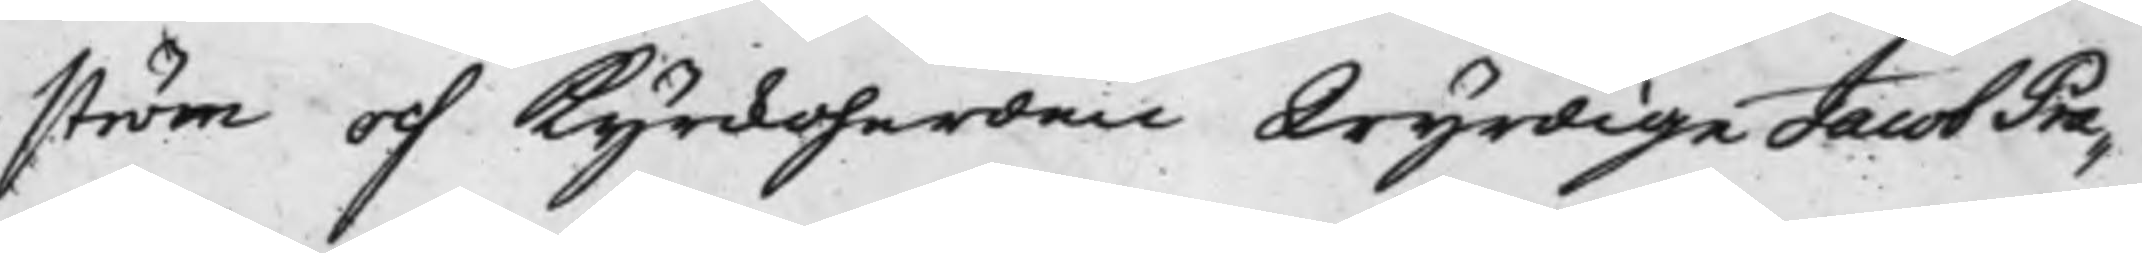ström och Kyrckoherden Wyrdige Jacob Pra¬
